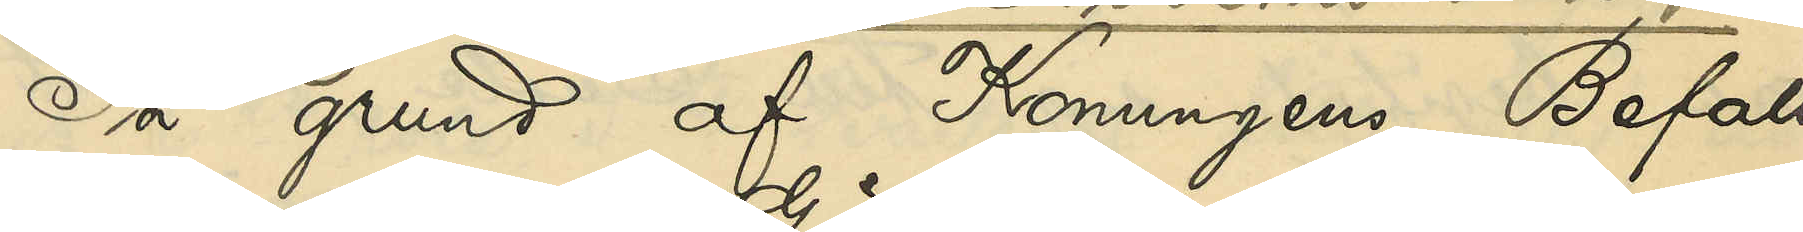På grund af Konungens Befall¬
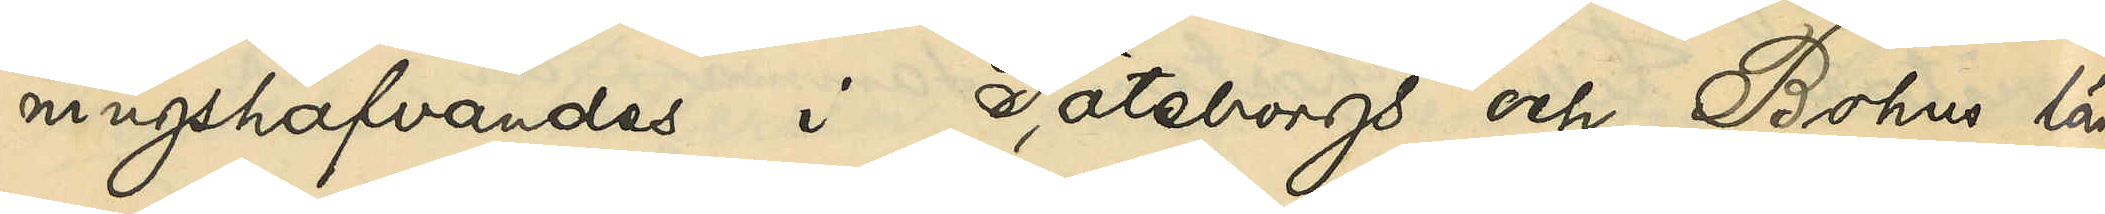ningshafvandes i Göteborgs och Bohus Län
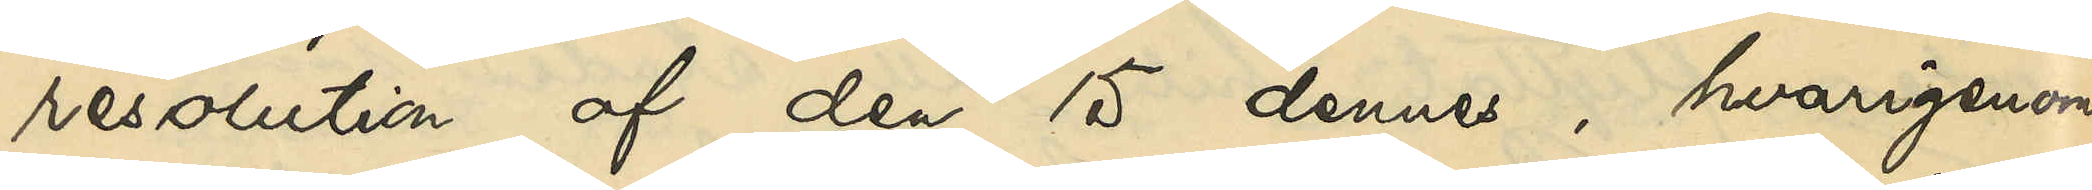resolution af den 15 dennes, hvarigenom
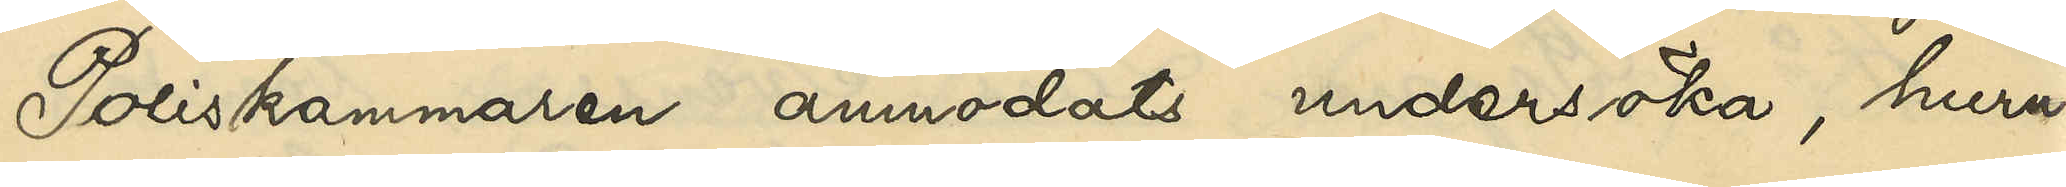Poliskammaren anmodats undersöka, huru¬
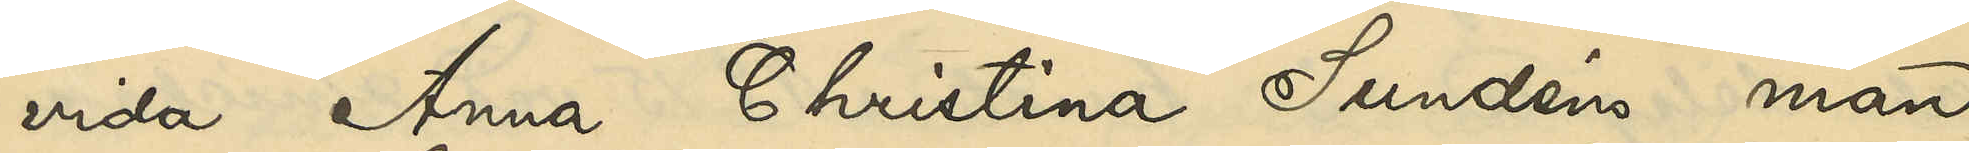vida Anna Christina Sundéns man
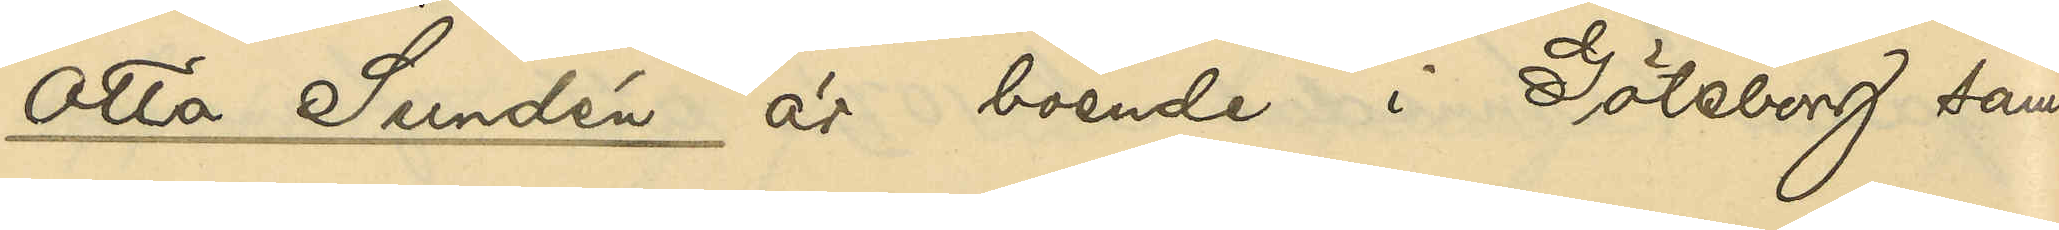Otto Sundén är boende i Göteborg samt
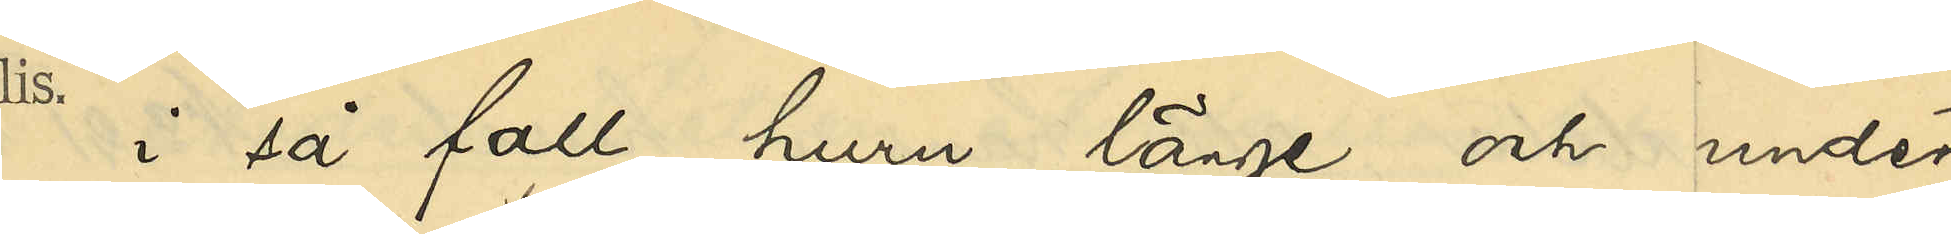i så fall huru länge och under
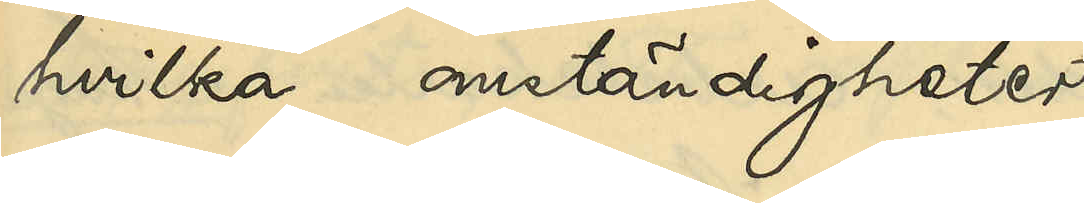hvilka omständigheter
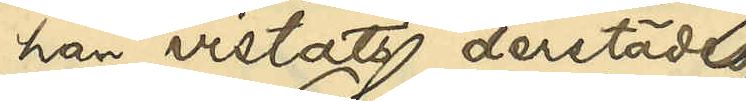han vistats destädes,
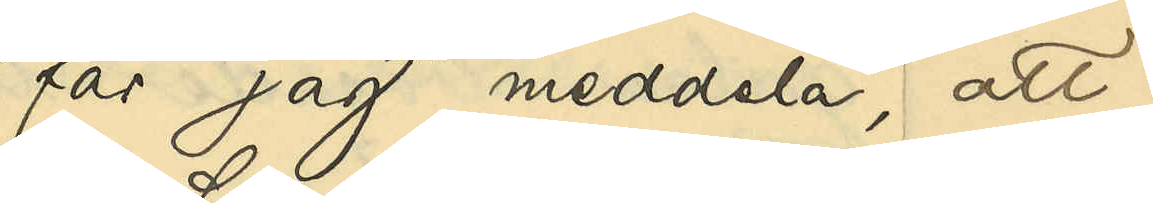får jag meddela, att
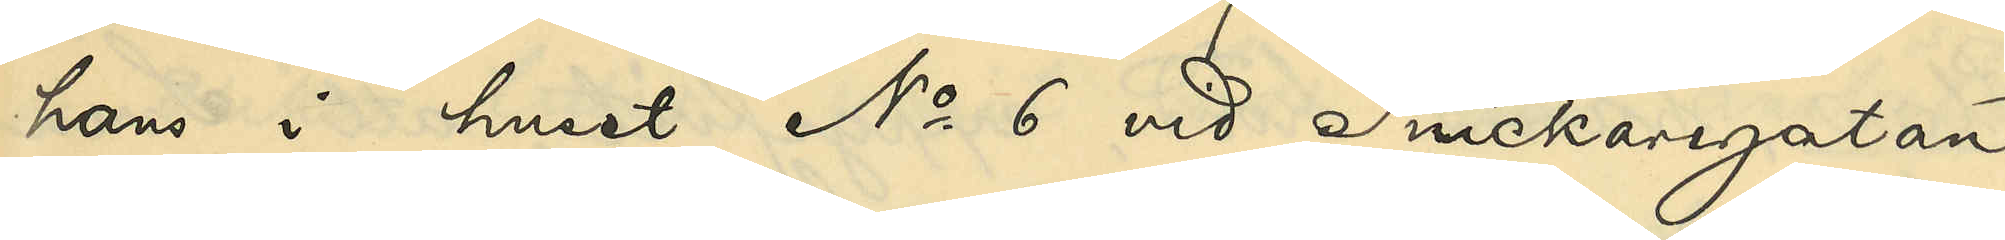hans i huset No 6 vid Snickaregatan
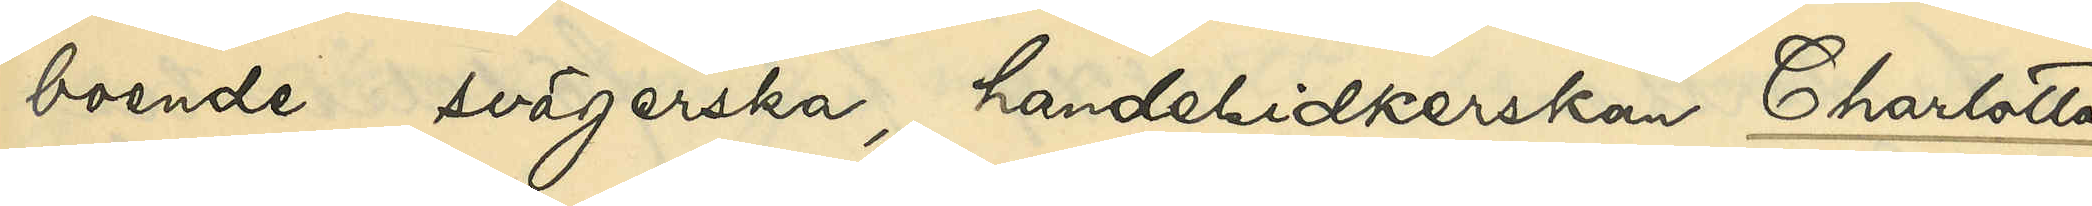boende svägerska, handelsidkerskan Charlotta
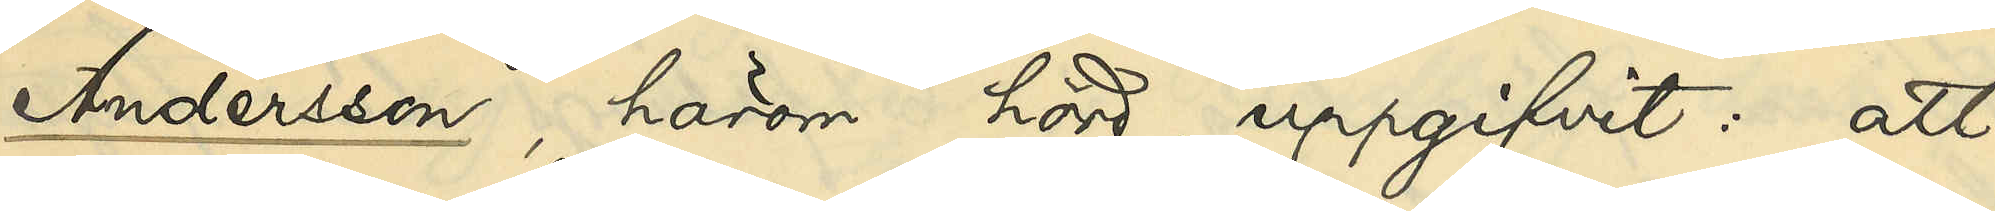Andersson, härom hörd, uppgifvit: att
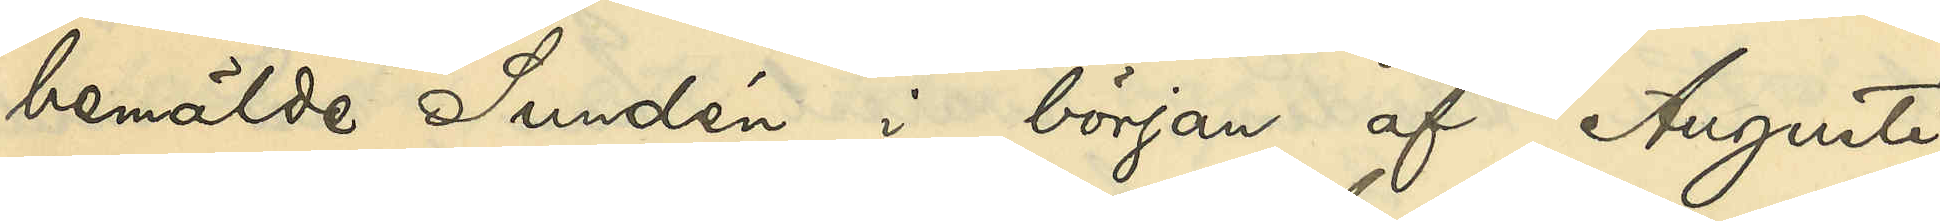bemälde Sundén i början af Augusti
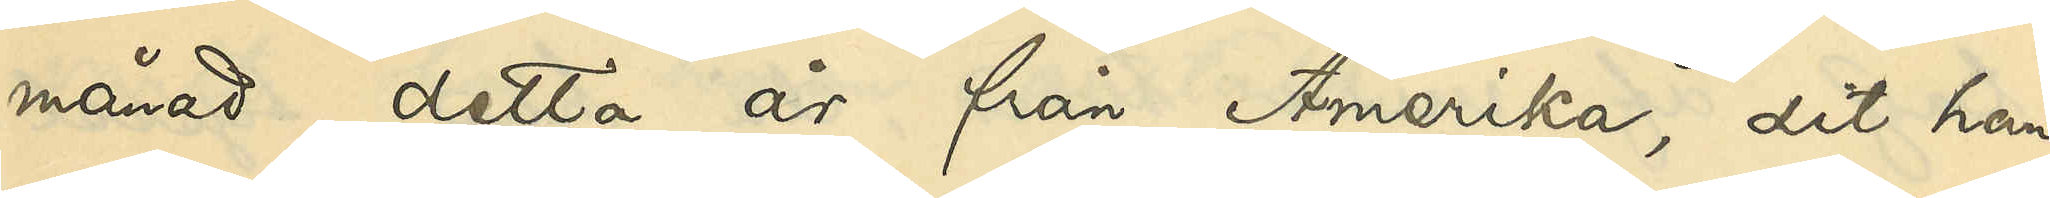månad detta år, från Amerika, dit han
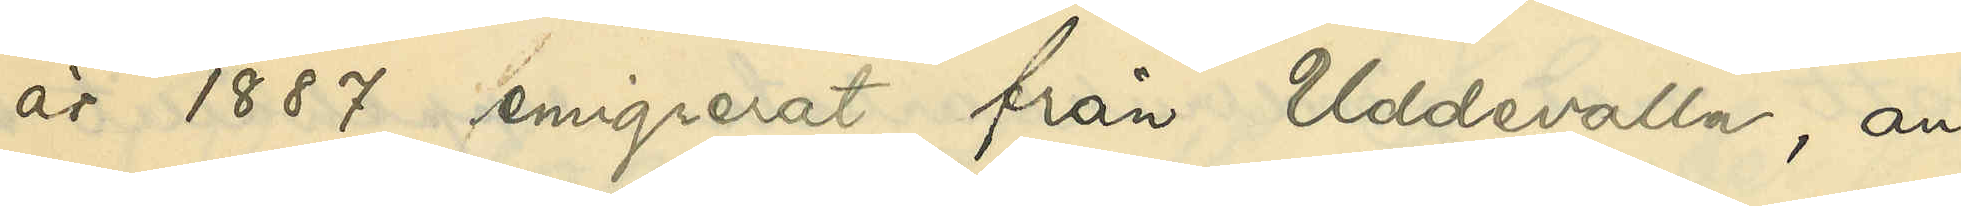år 1887 emigrerat från Uddevalla, an¬
